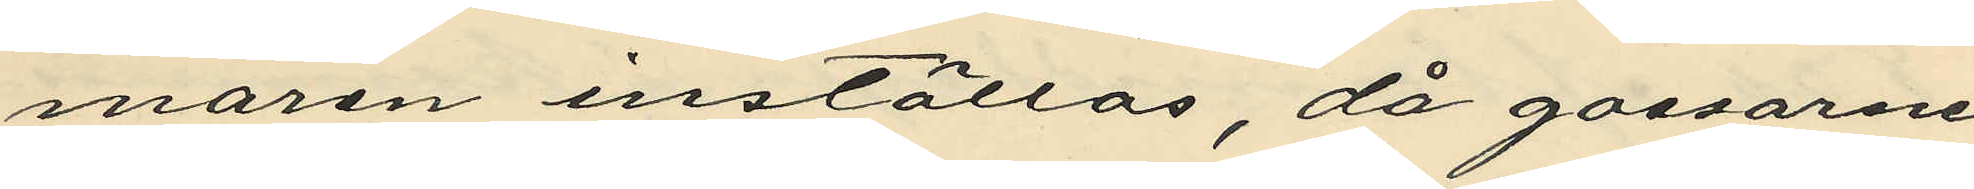maren inställas, då gossarne
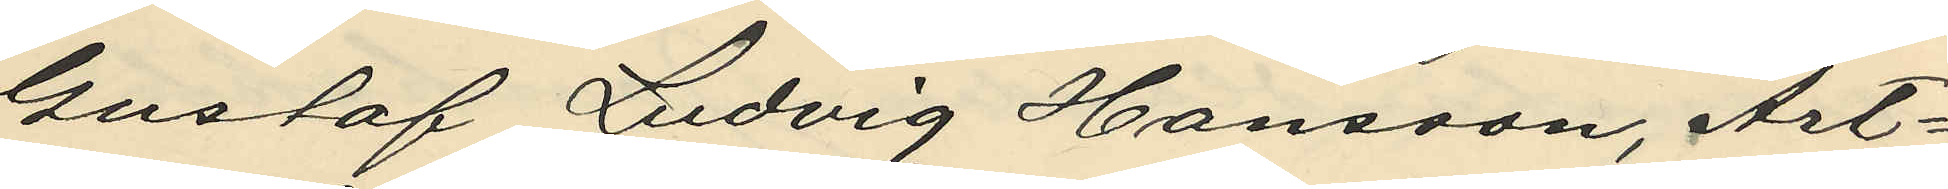Gustaf Ludvig Hansson, Art¬
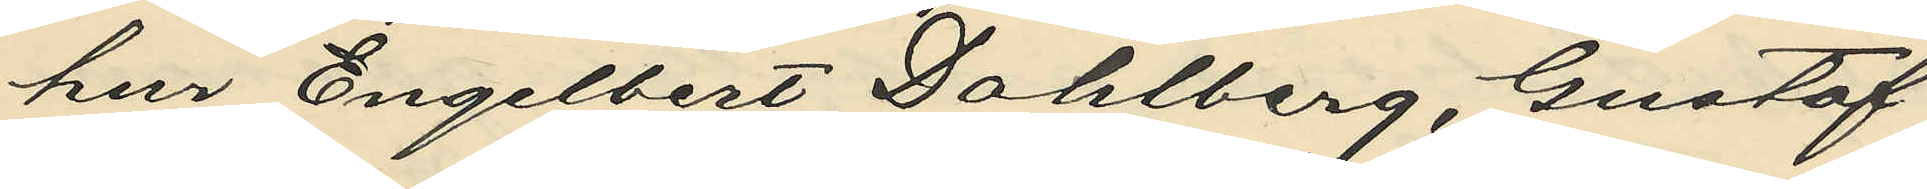hur Engelbert Dahlberg, Gustaf 
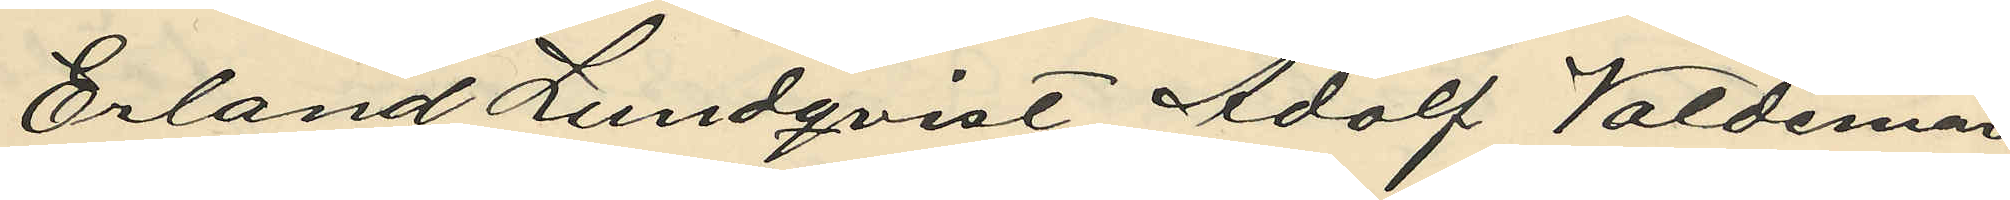Erland Lundqvist Adolf Valdemar
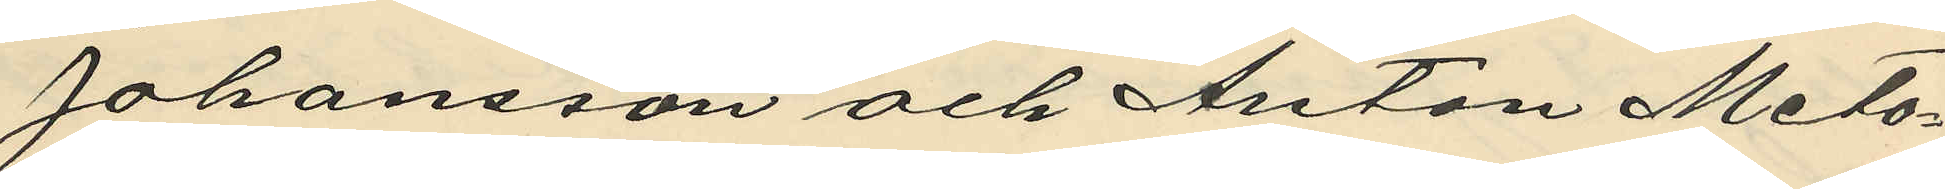Johansson och Anton Meto¬
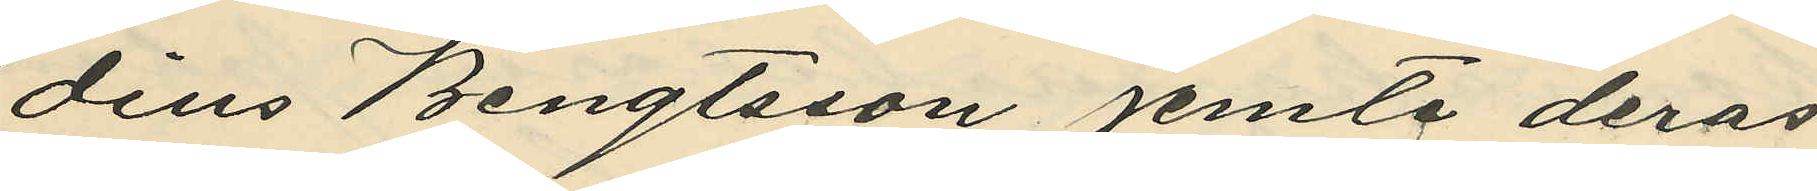dius Bengtsson jemte deras
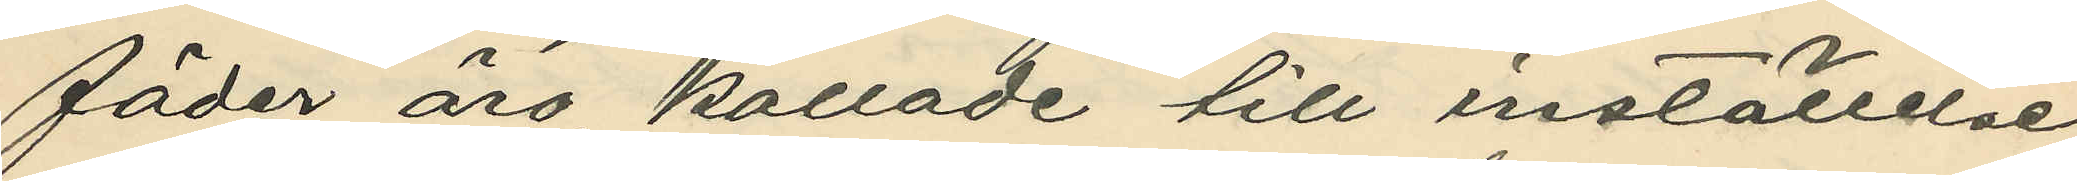fäder äro kallade till inställelse
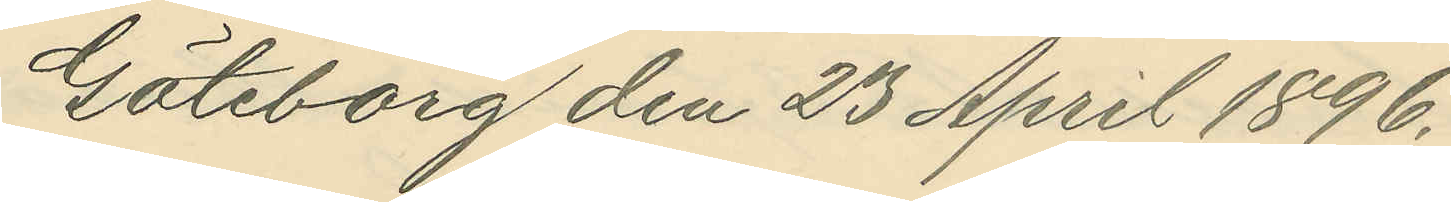Göteborg den 23 April 1896.
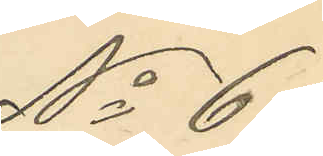No 65
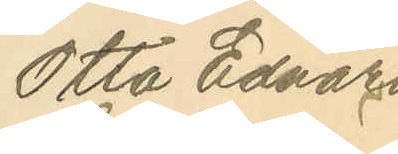Otto Edvard
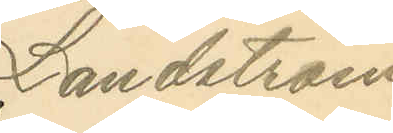Landstrom
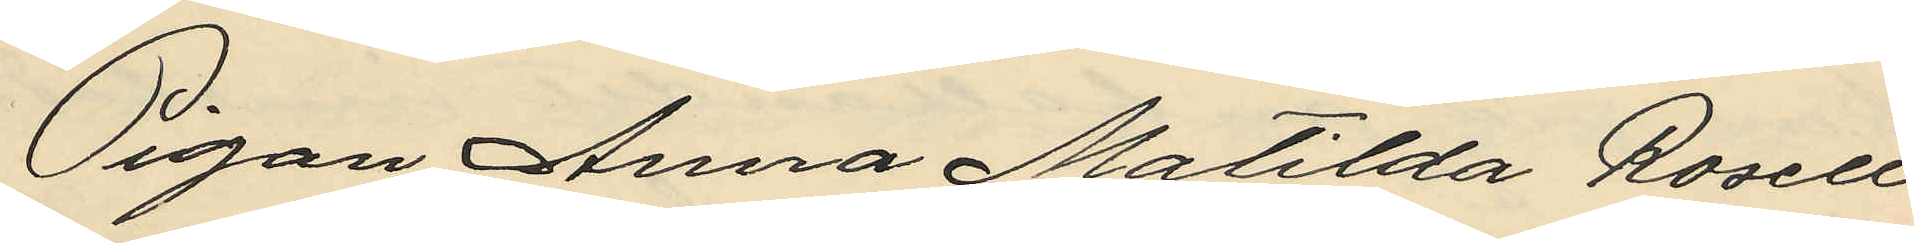Pigan Anna Matilda Rosell
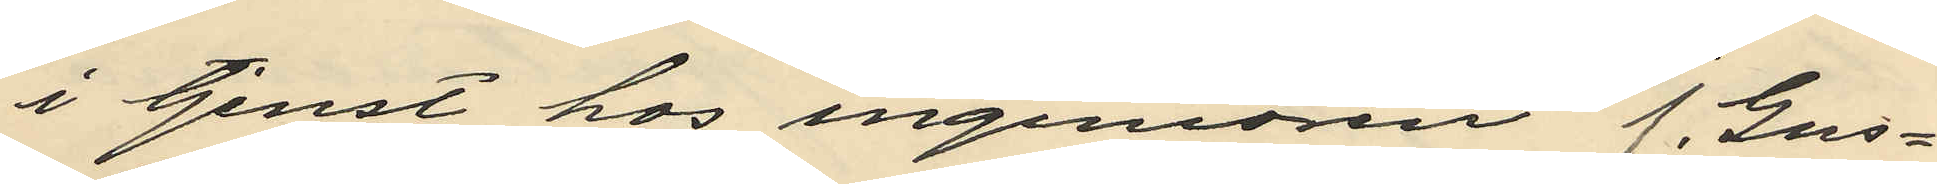i tjenst hos ingeniören J. Gus¬
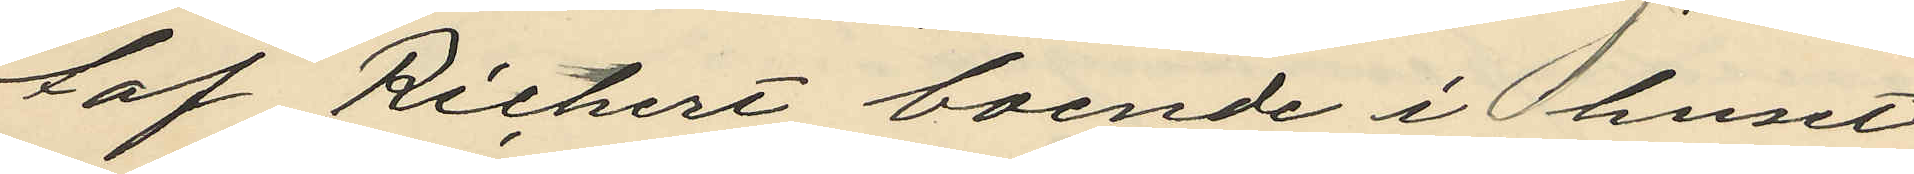taf Richert boende i huset
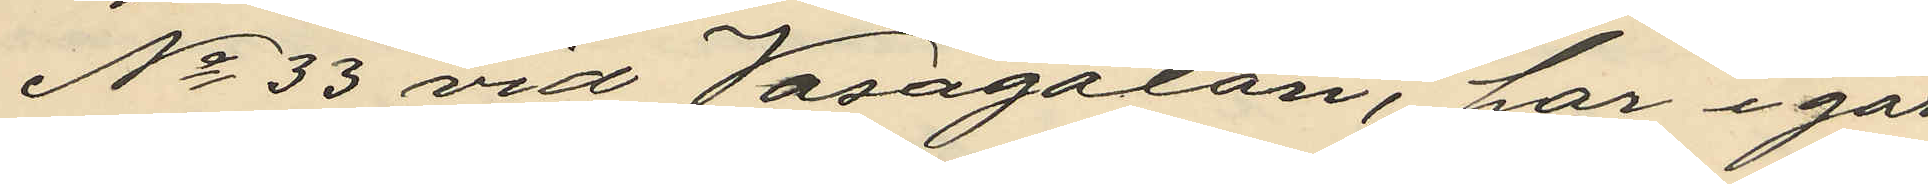No 33 vid Vasagatan, har i går
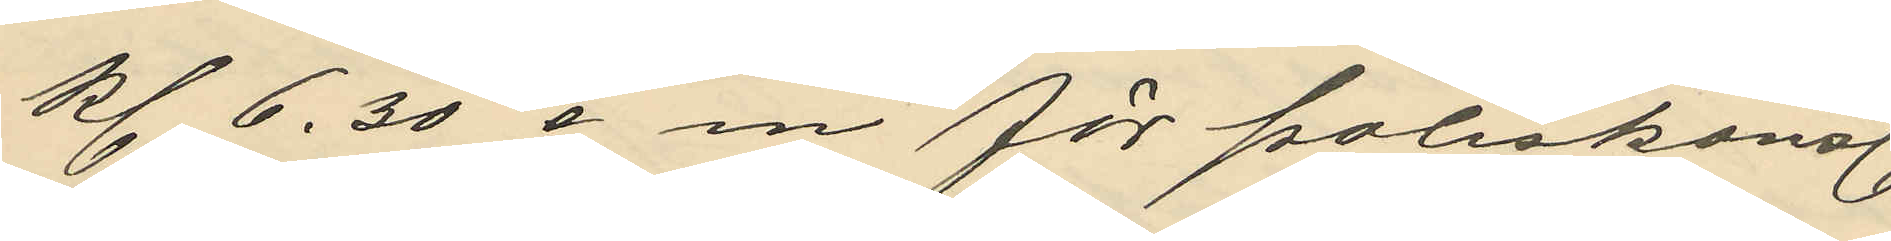kl. 6.30 e m för poliskonst.
